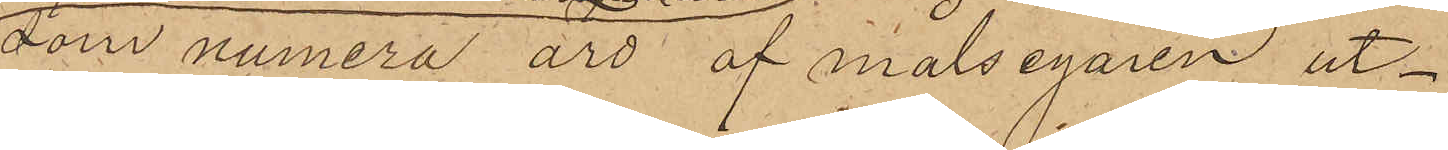som numera äro af målsegaren ut¬
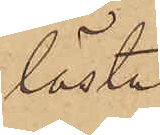lösta
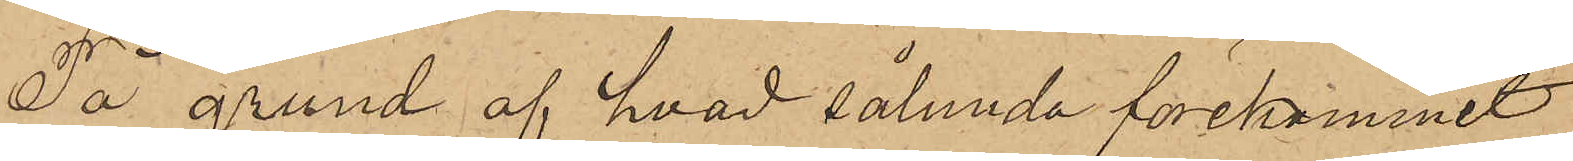På grund af hvad sålunda förekommit
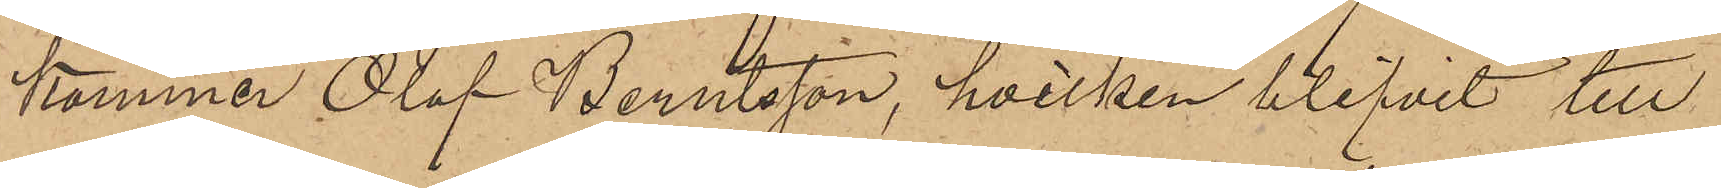kommer Olof Berntsson, hvilken blifvit till
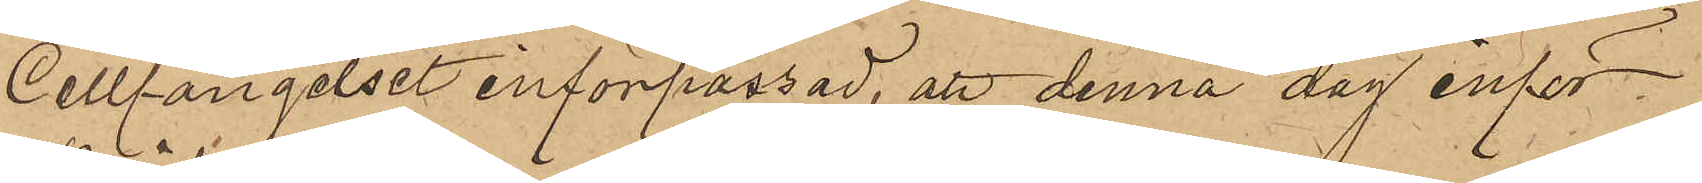Cellfängelset införpassad, att denna dag inför
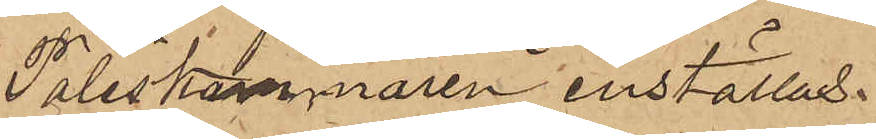Poliskammaren inställas.
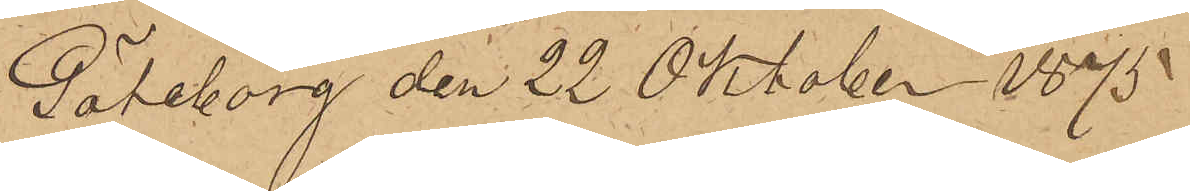Göteborg den 22 Oktober 1875
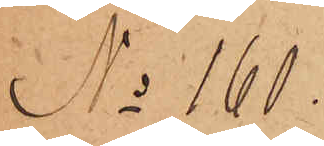No 160.
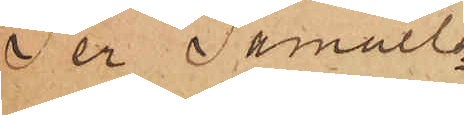Per Samuels¬
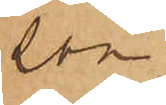son
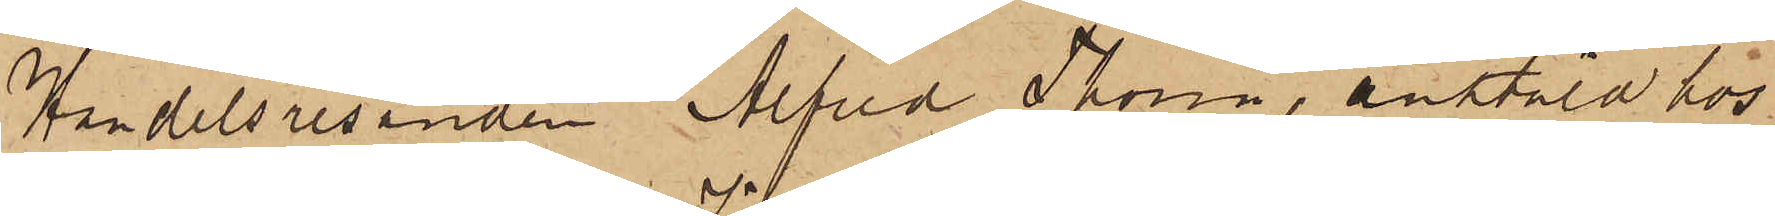Handelsresanden Alfred Thorin, anstäld hos
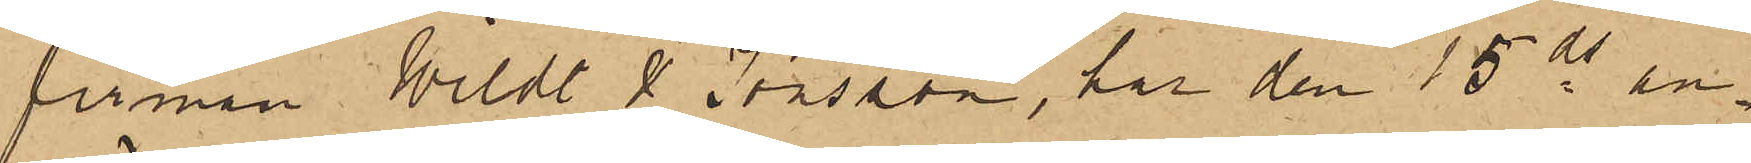firman Wildt & Jönsson, har den 15 ds in¬
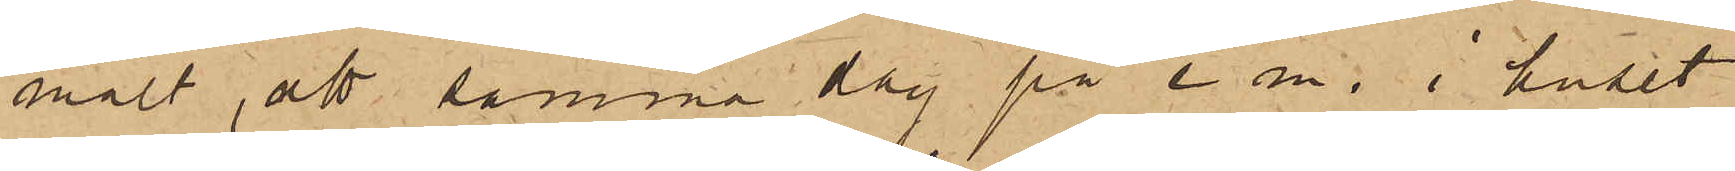mält, att samma dag på e m. i huset
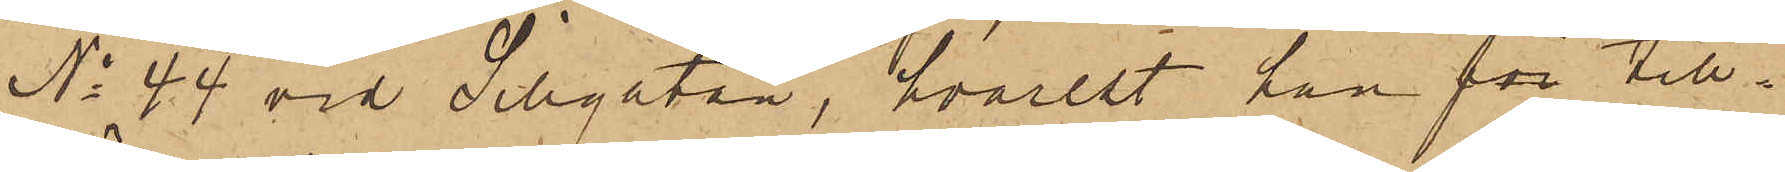No 44 vid Sillgatan, hvarest han för till¬
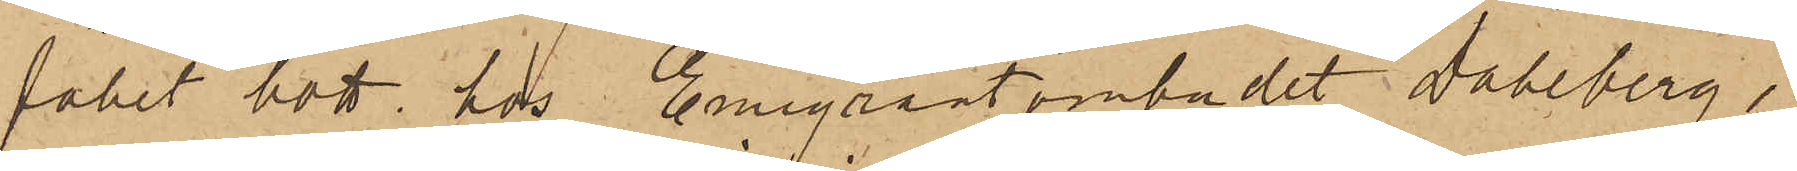fället bott hos Emigrantombudet Dahlberg,
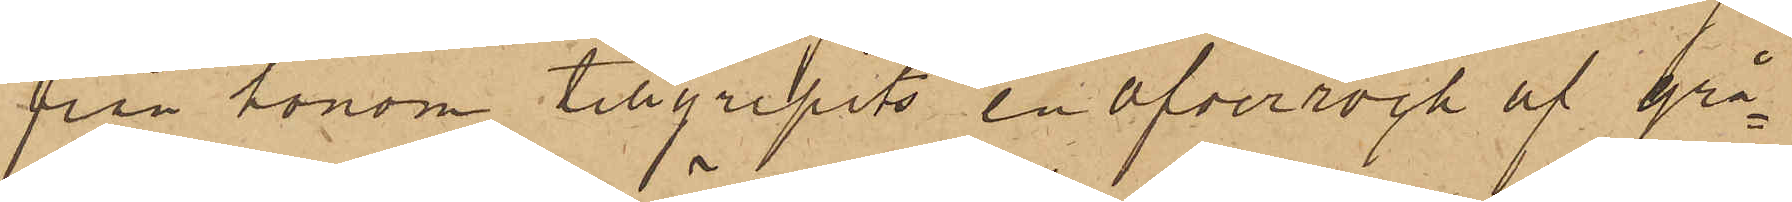från honom tillgripits en öfverrock af grå¬
